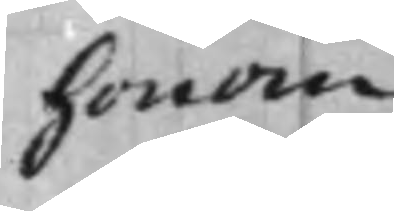honom
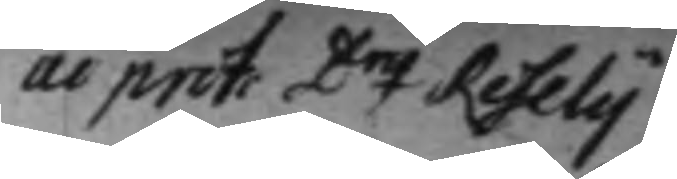ui prot. D.nq Reselij
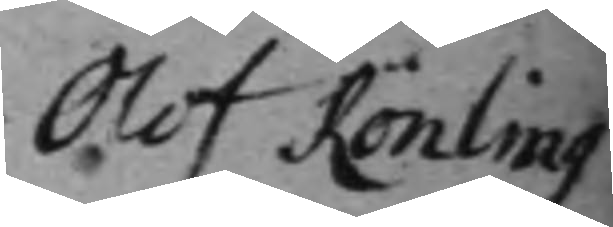Olof Rönling
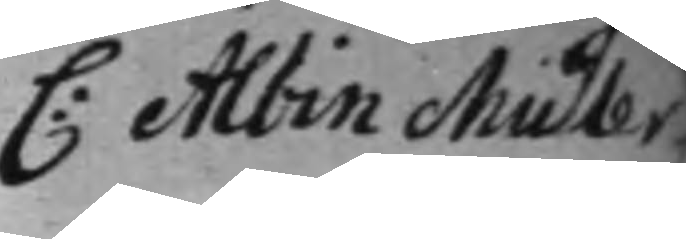C: Albin Muller
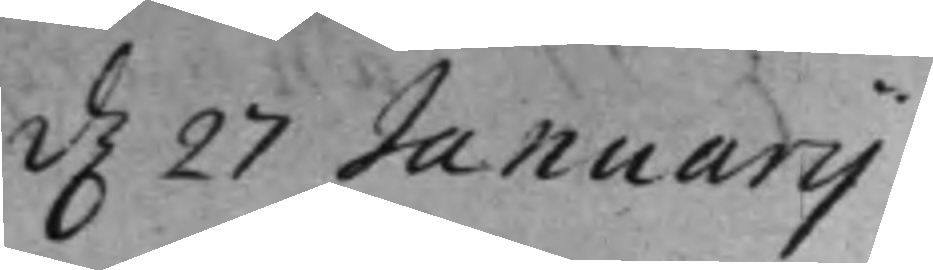d. 27 Januarij
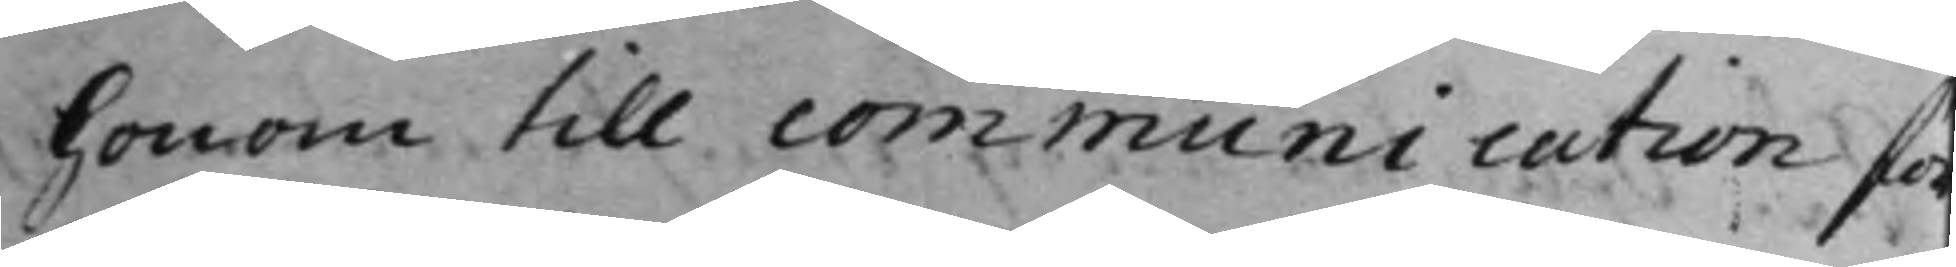honom till communication för
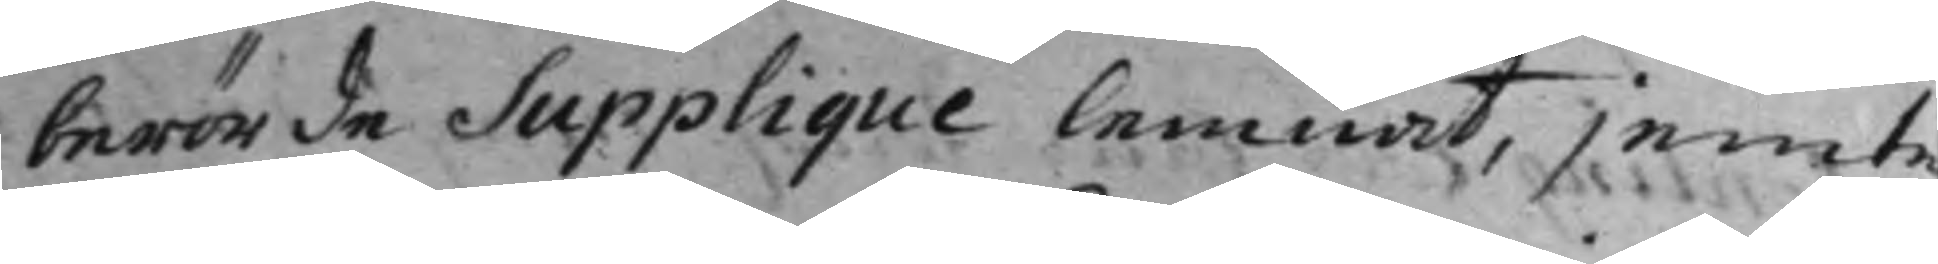berörde Supplique lemnat, jemte
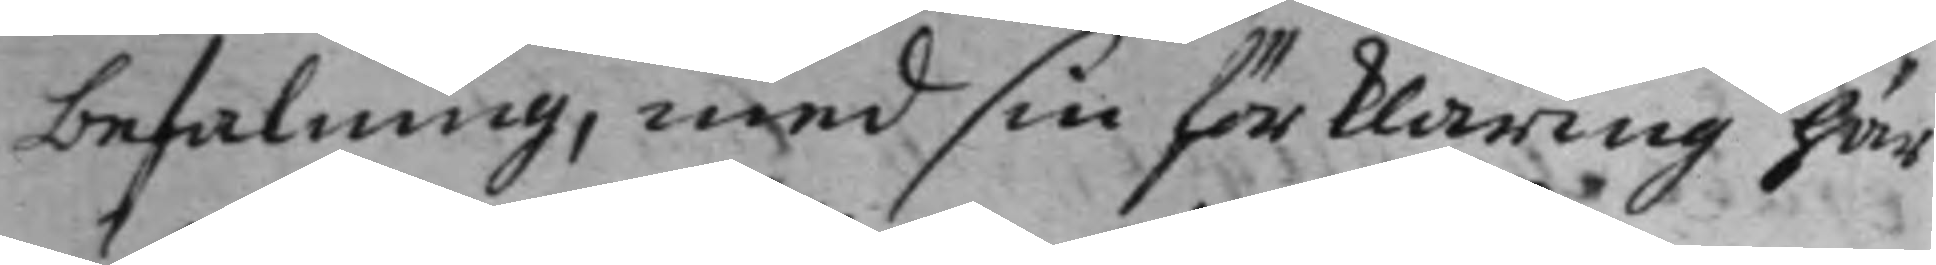befalning, med sin förklaring här
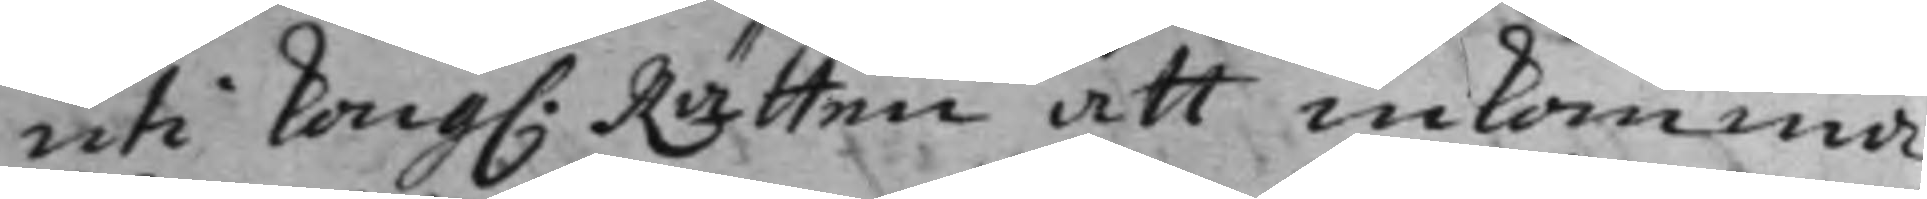uti Kong: Rätten att inkomma,
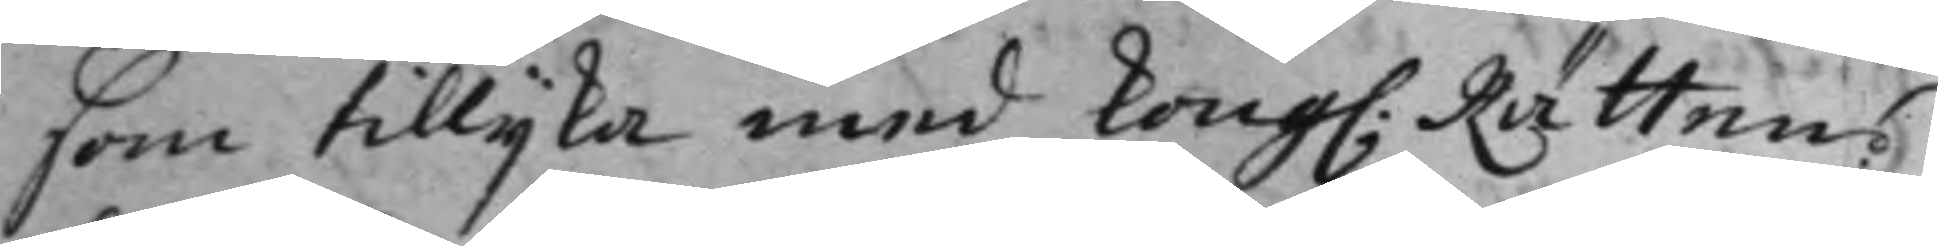som tillijka med Kong: Rättens
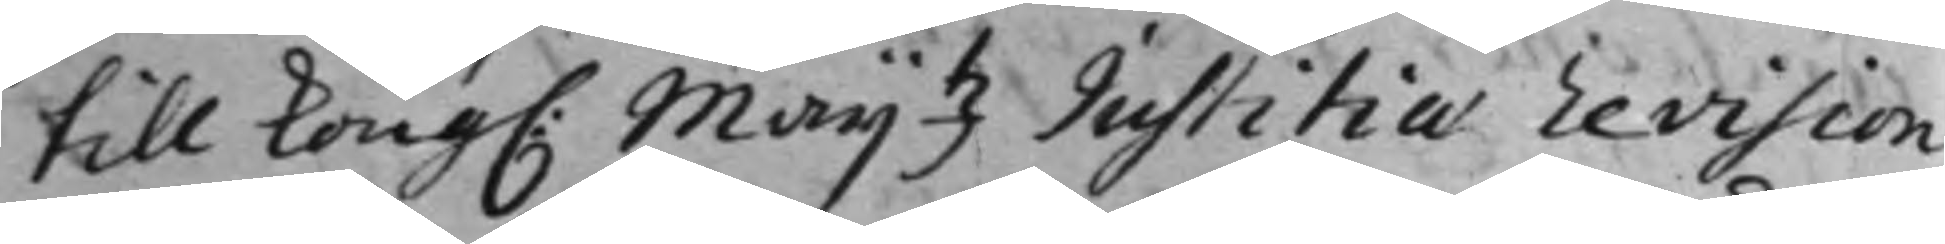till Kong: Maij.tz Justitiae Revision
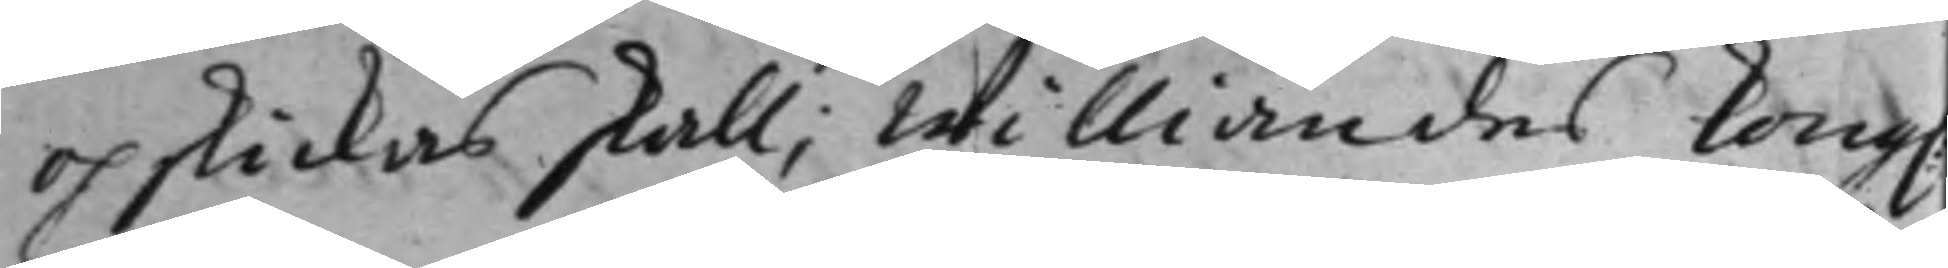och skickas skall; Williandes Kong:
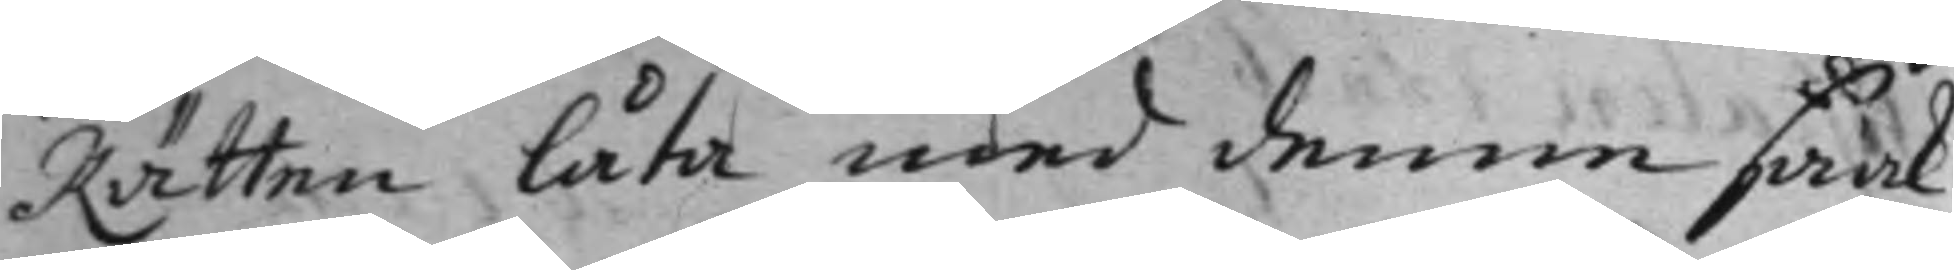Rätten låta med denne saak
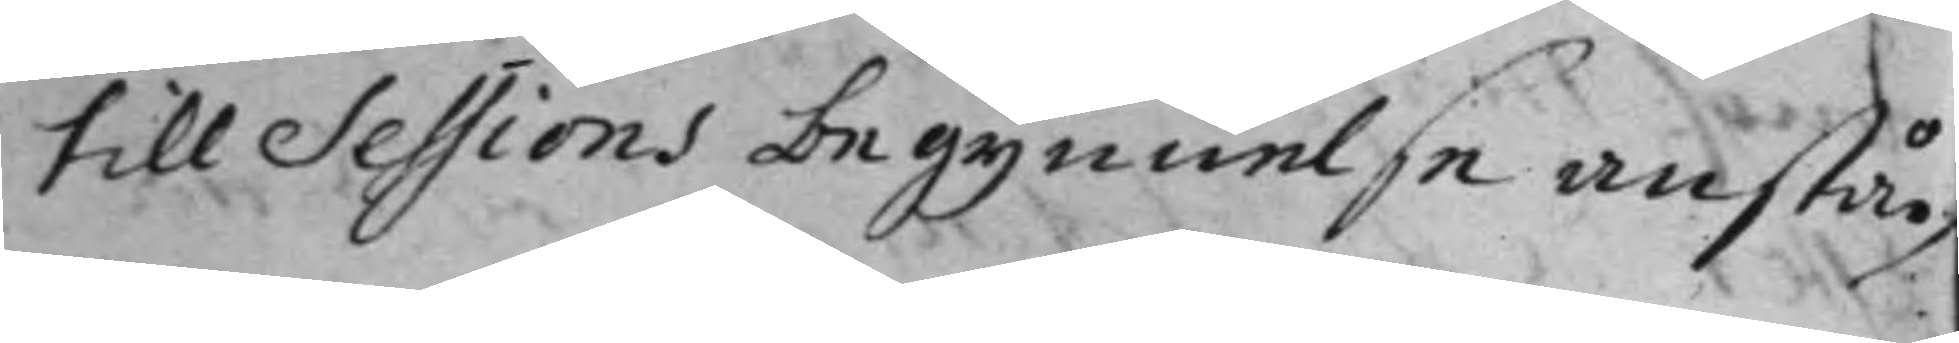till Sessions begynnelse anstå.
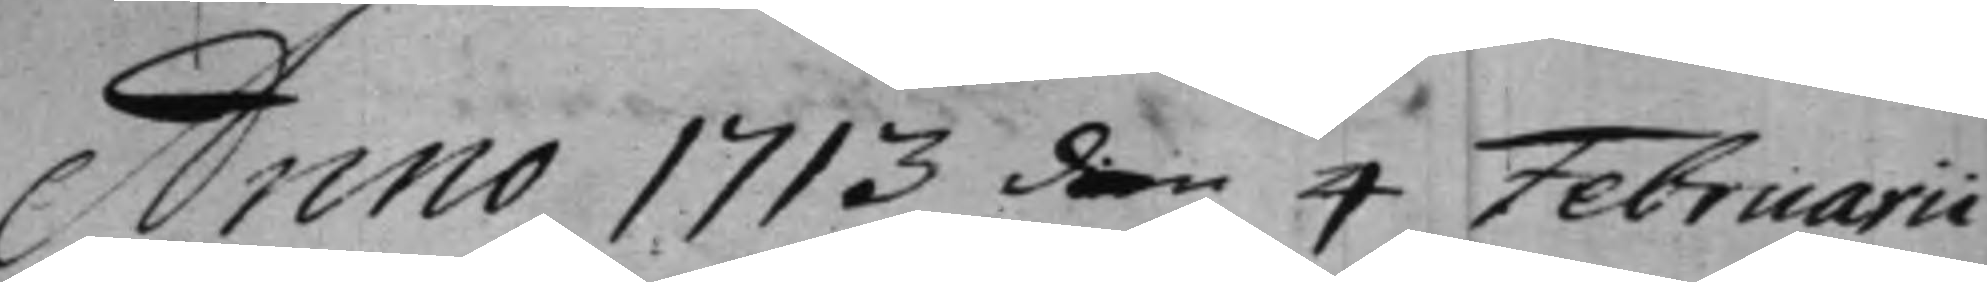Anno 1713 den 4 Februarii
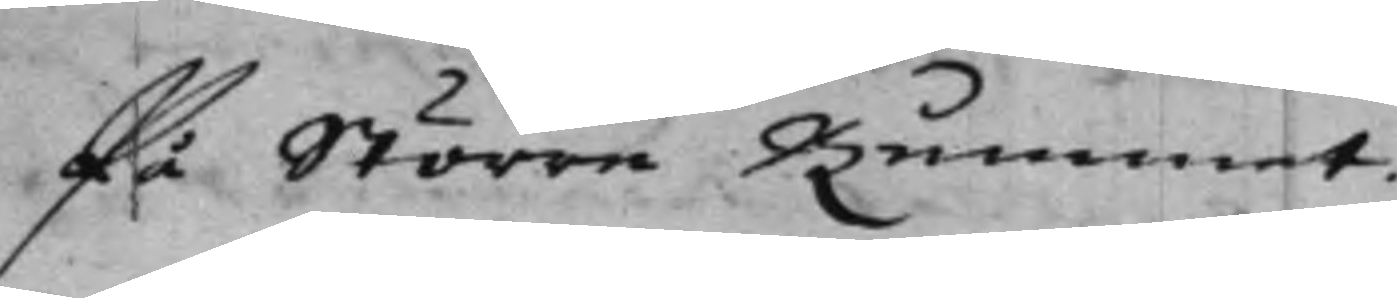På Större Rummet.
